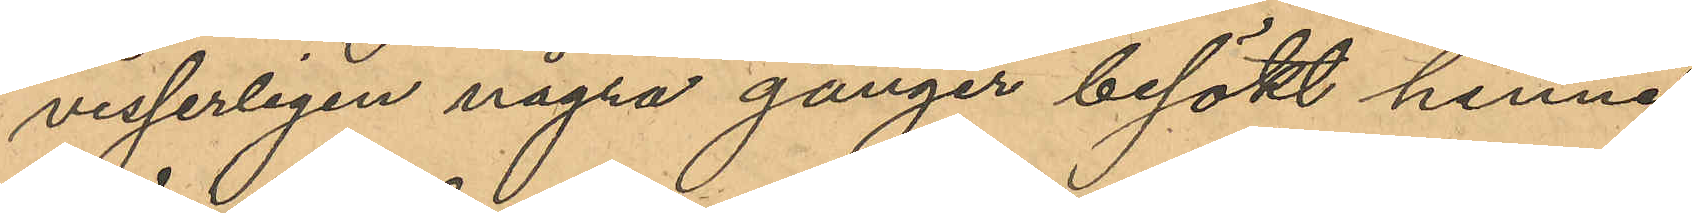visserligen några gånger besökt henne
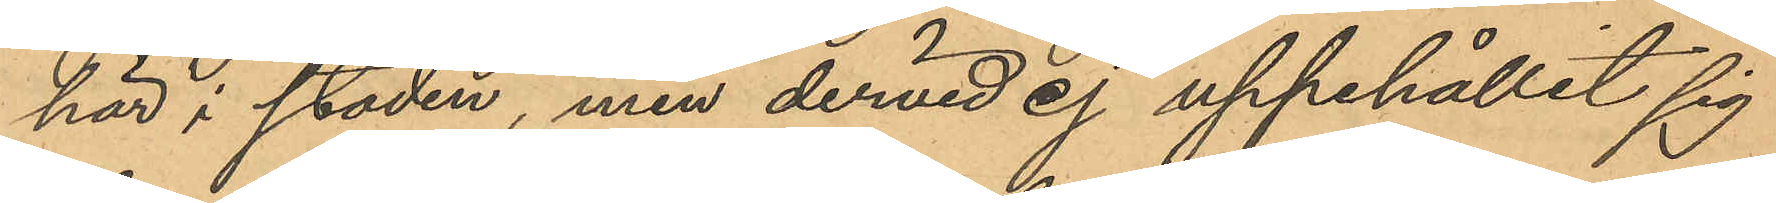här i staden, men dervid ej uppehållit sig
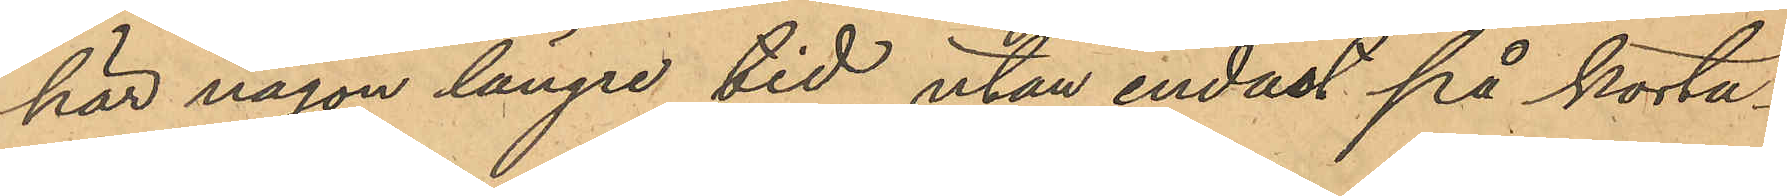här någon längre tid utan endast på korta¬
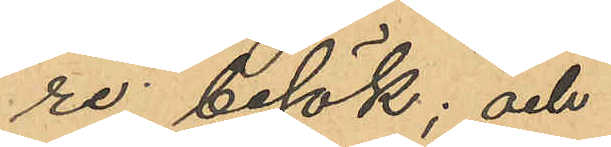re besök; och
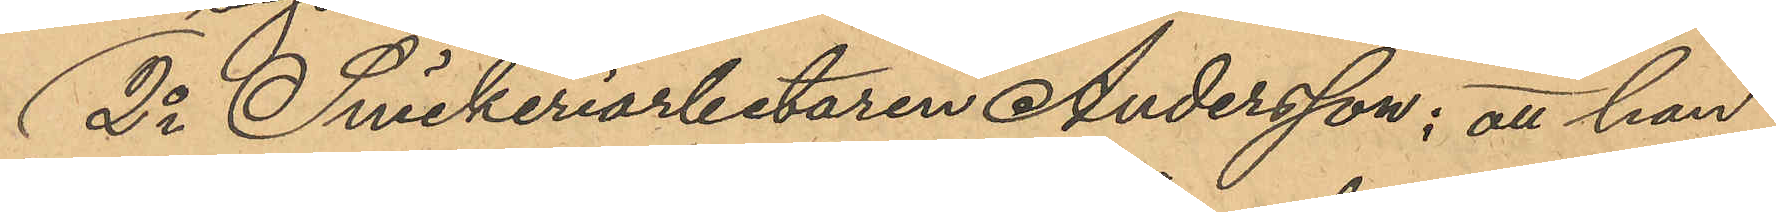2o Snickeriarbetaren Andersson; att han
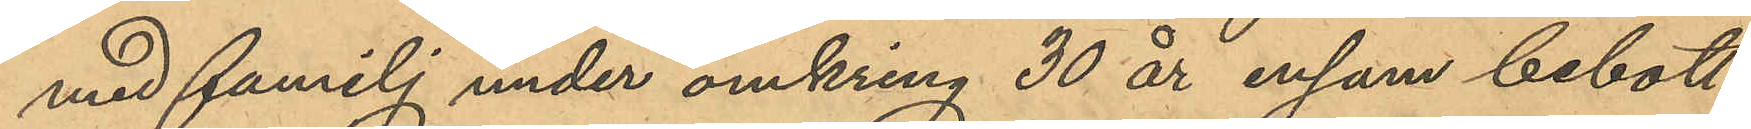med familj under omkring 30 år ensam bebott
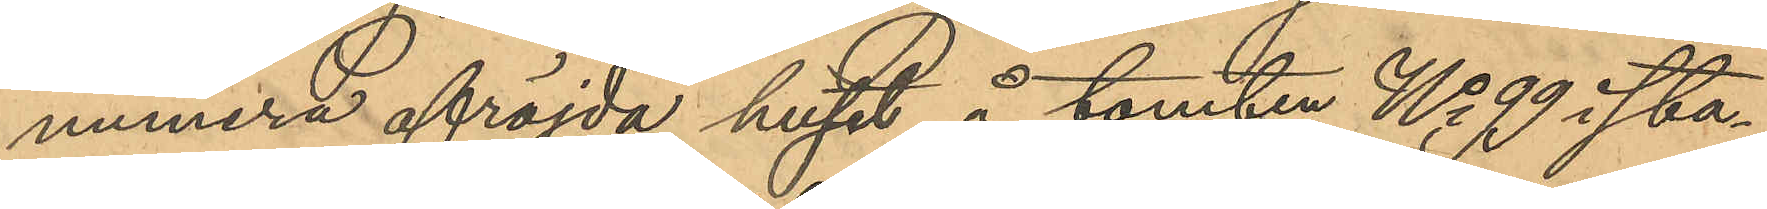numera afröjda huset å tomten No 99 i sta¬
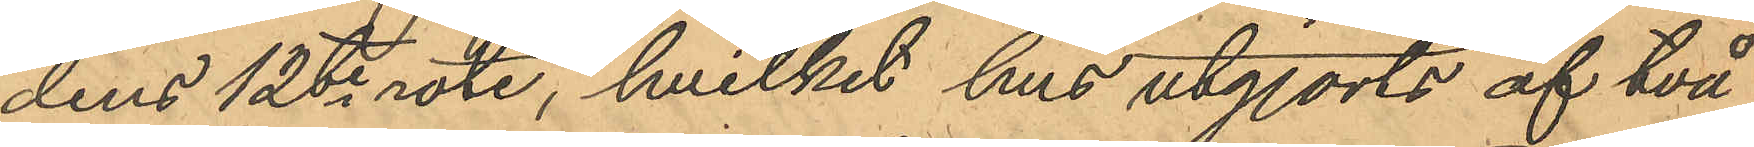dens 12te rote, hvilket hus utgjorts af två
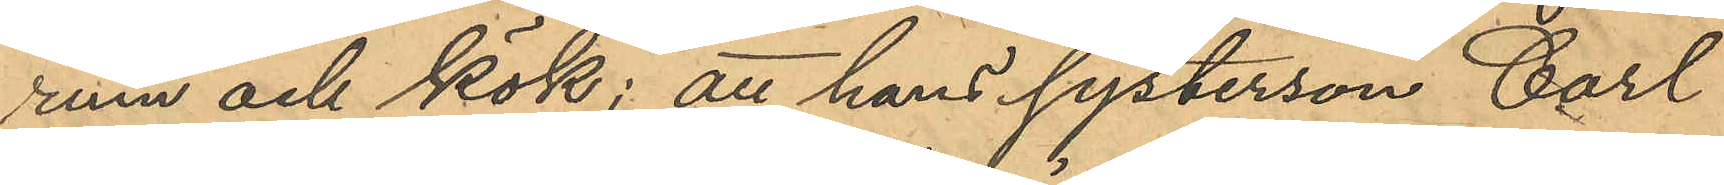rum och kök; att hans systerson Carl
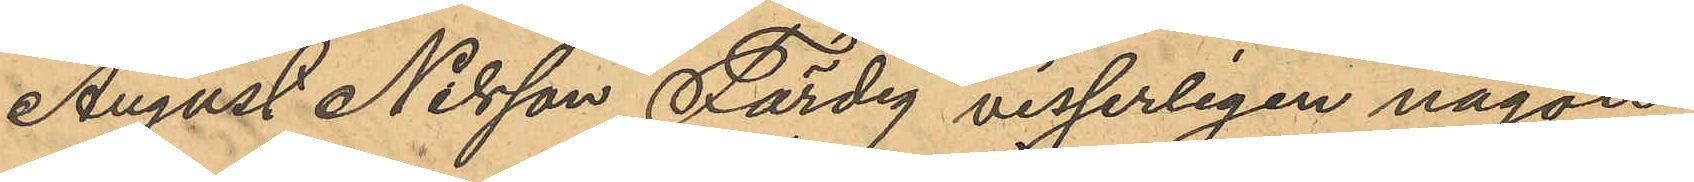August Nilsson Färdig visserligen någon
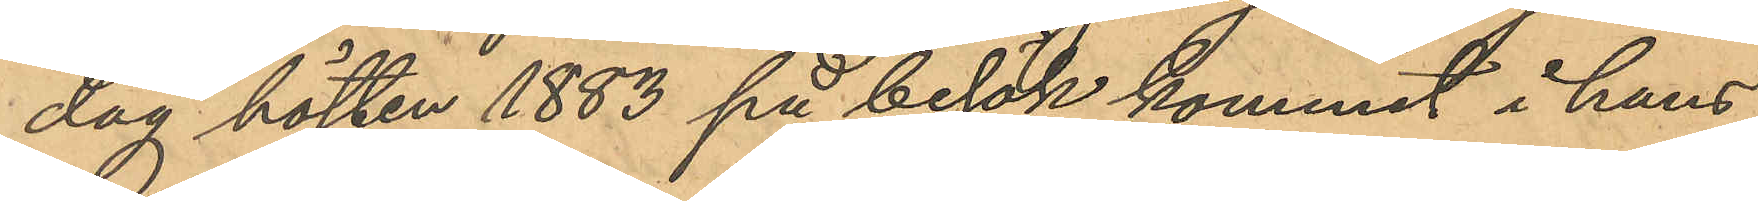dag hösten 1883 på besök kommit i hans
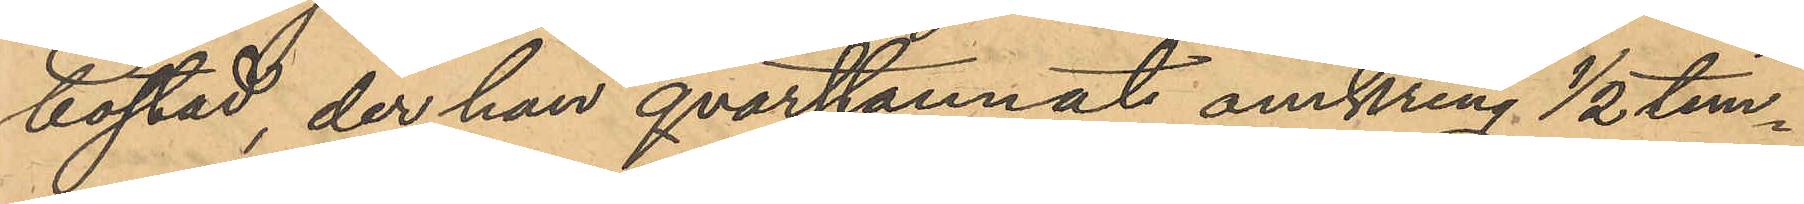bostad, der han qvarstannat omkring ½ tim¬
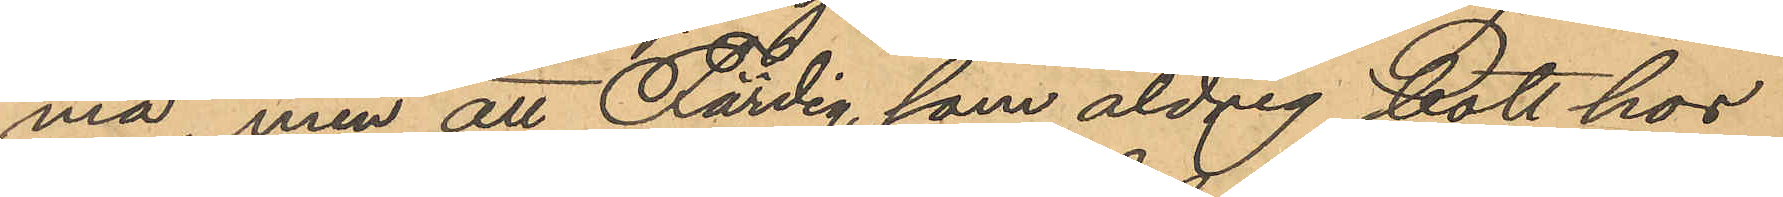ma, men att Färdig, som aldrig bott hos
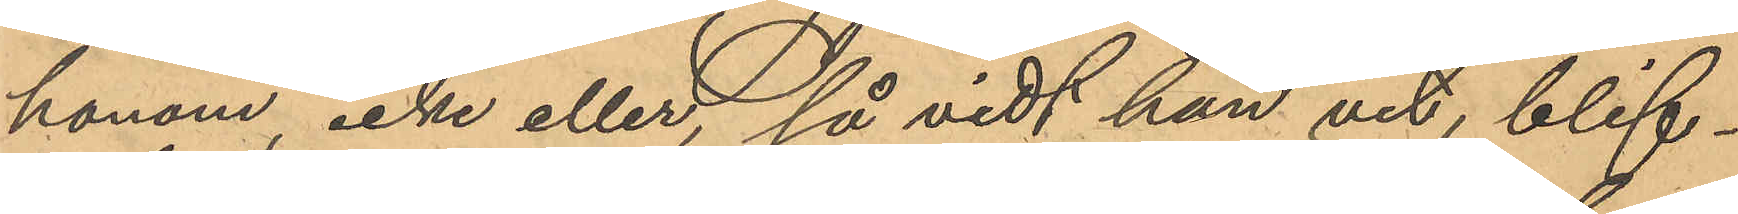honom, icke eller, så vidt han vet, blif¬
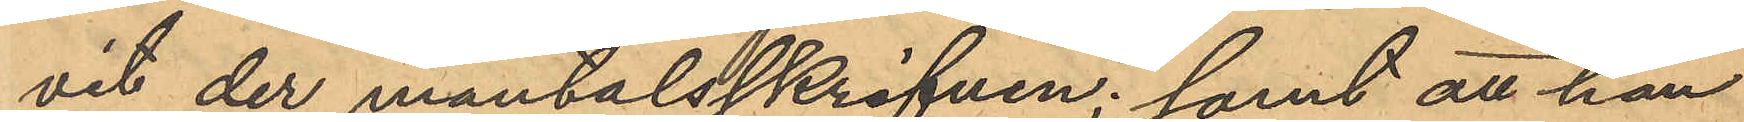vit der mantalsskrifven; samt att han
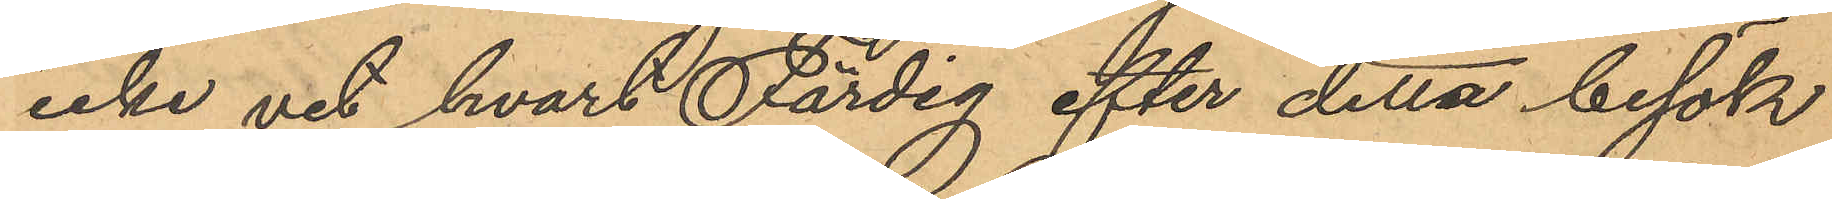icke vet hvart Färdig efter detta besök
